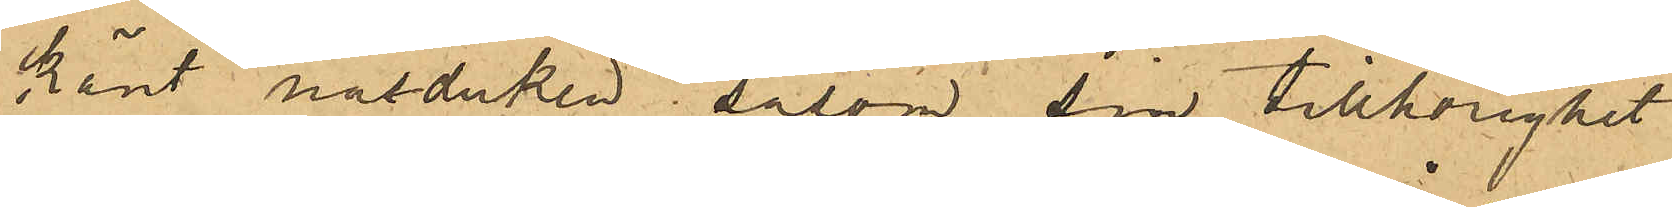känt näsduken såsom sin tillhörighet
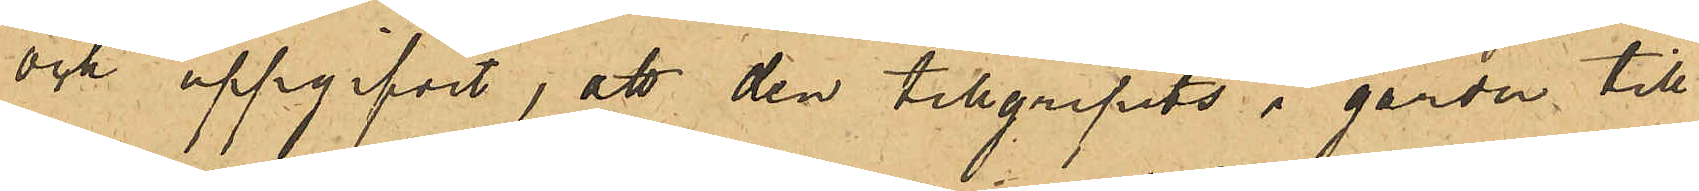och uppgifvit, att den tillgripits i gården till
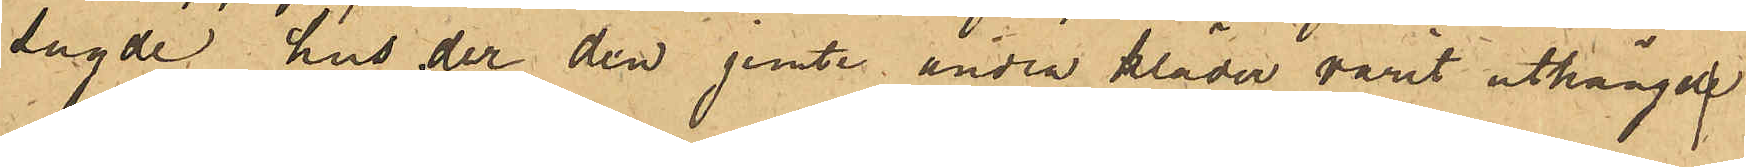sagde hus der den jemte andra kläder varit uthängd
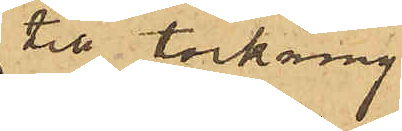till torkning.
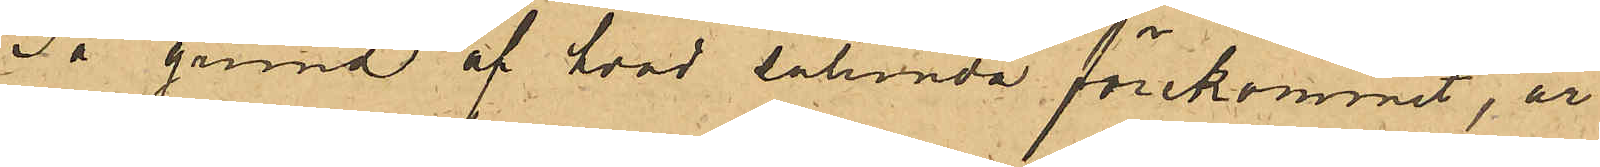På grund af hvad sålunda förekommit, är
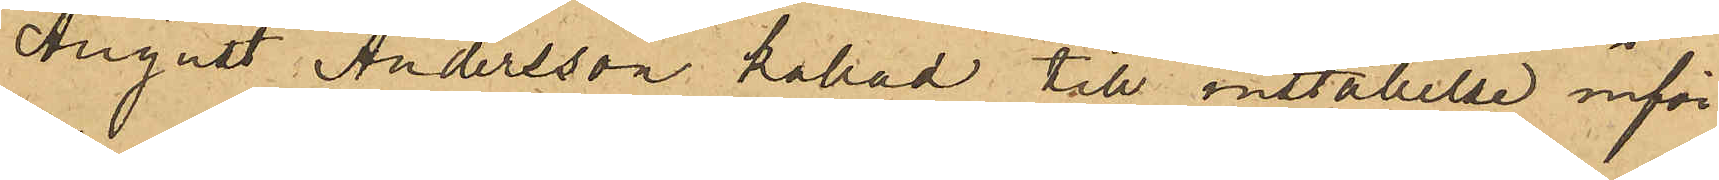August Andersson kallad till inställelse inför
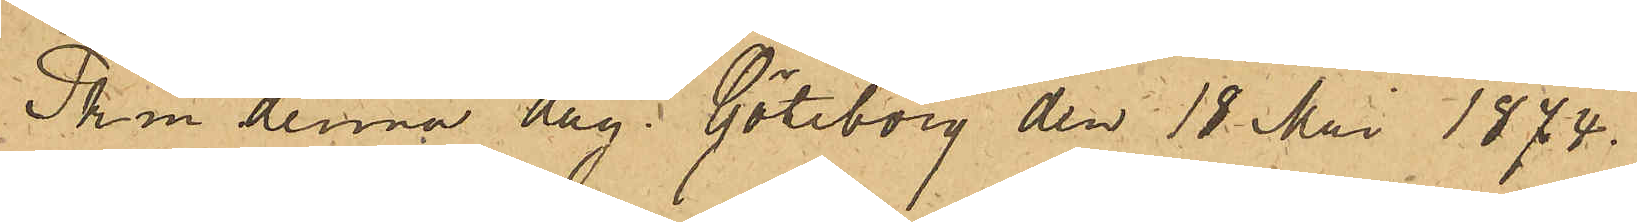Pkm denna dag. Göteborg den 18 Mai 1874 
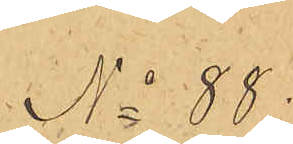No 88
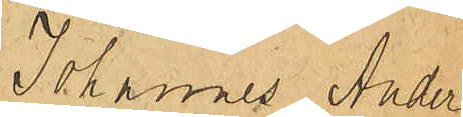Johannes Ander¬
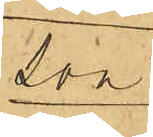son.
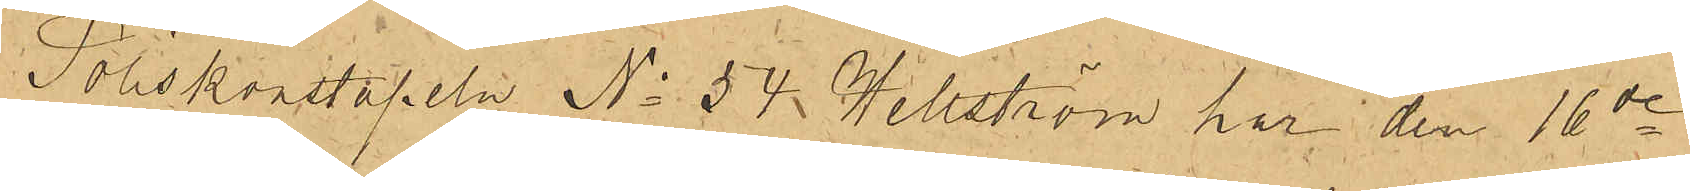Poliskonstapeln No 54 Hellström har den 16de
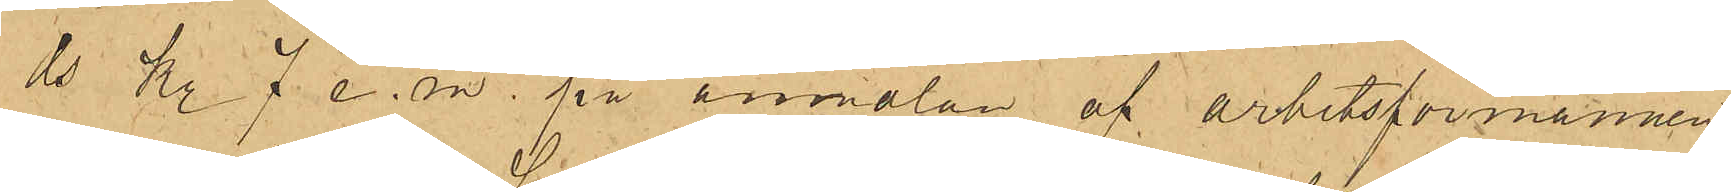ds Kl 7 e.m. på anmälan af arbetsförmannen
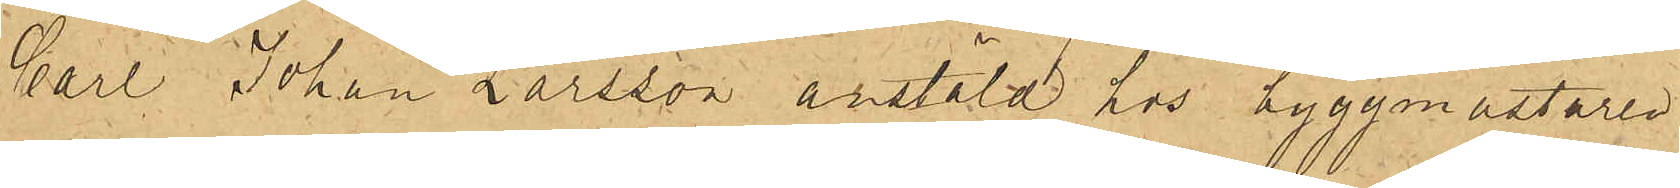Carl Johan Larsson anstäld hos byggmästaren
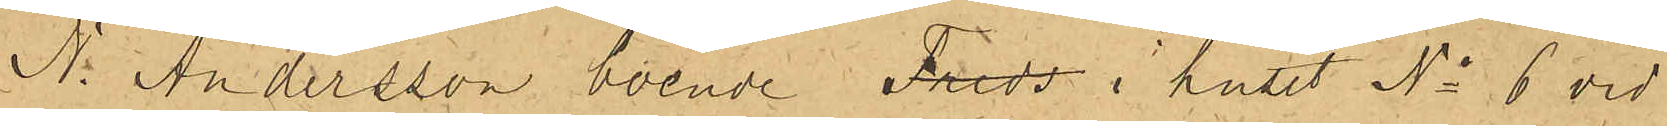N. Andersson boende Freds i huset No 6 vid
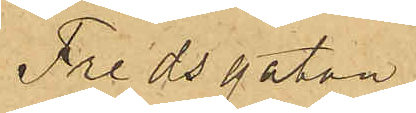Fredsgatan
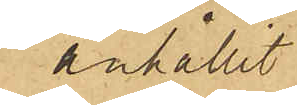anhållit
